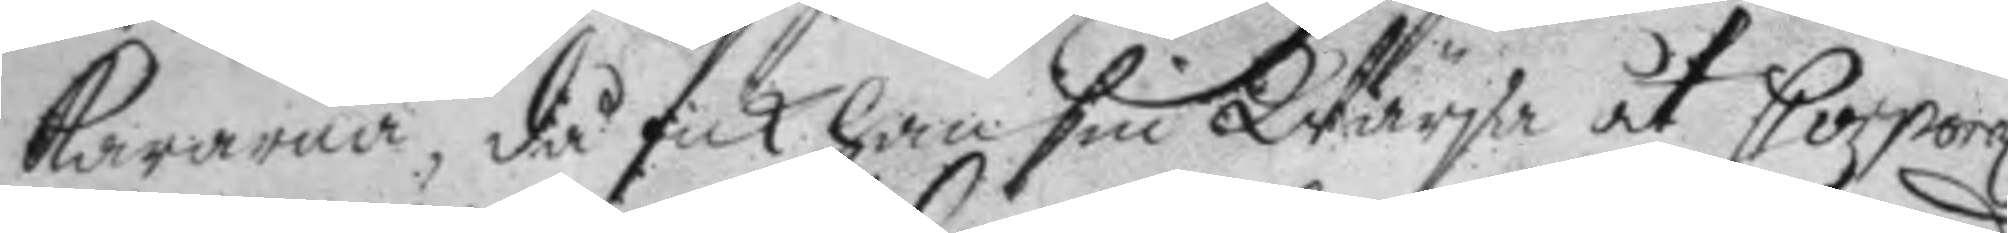kararna, då fick han sin Wärja åt Corporal
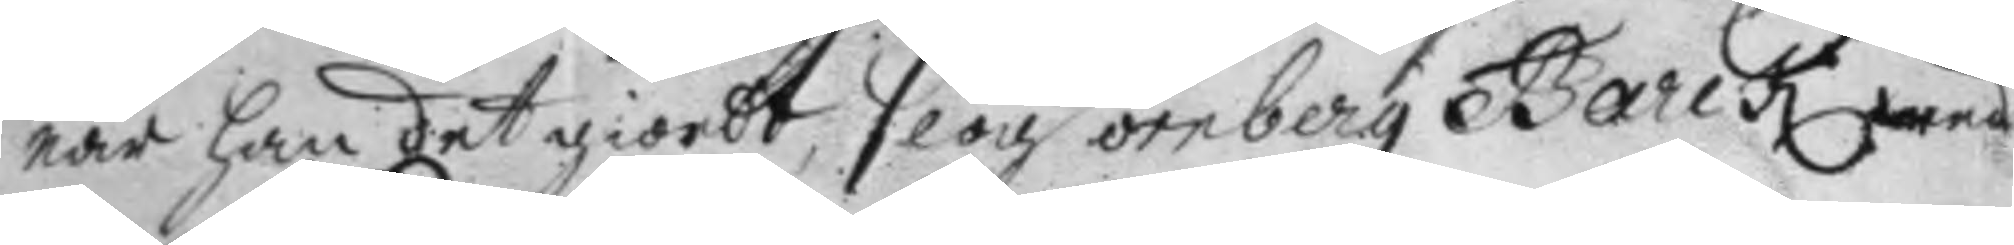när han det giordt, slog örnberg Barck med
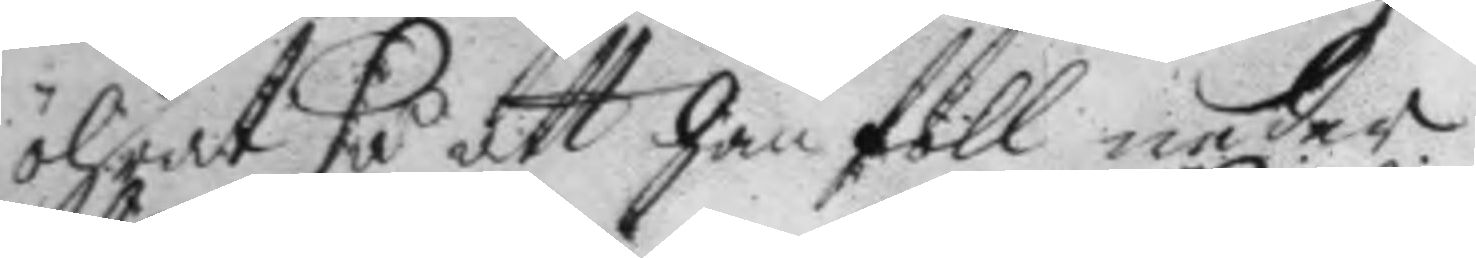öhrat så att han föll neder.
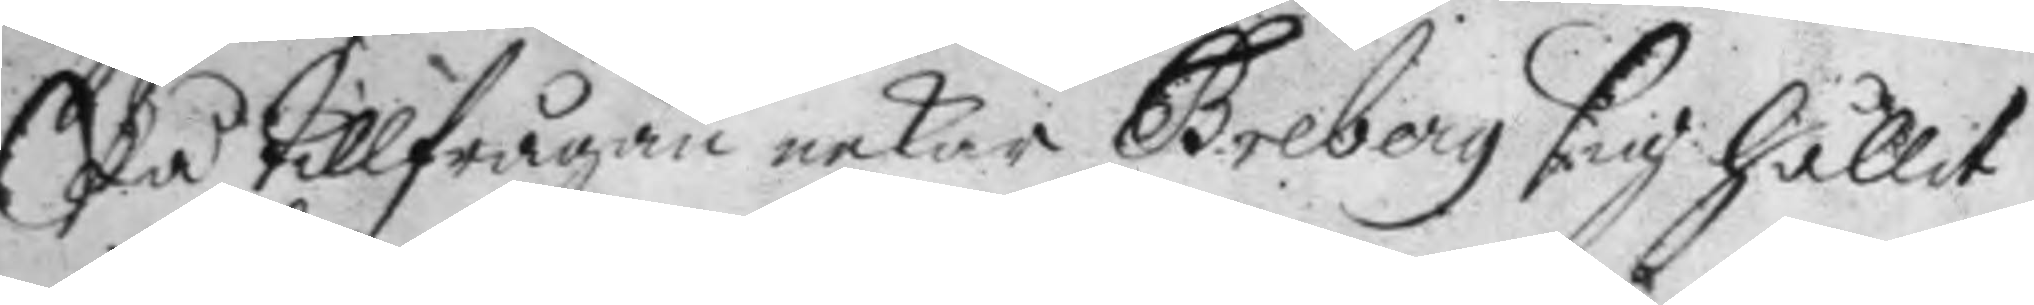På tillfrågan nekar Greberg sig hållit
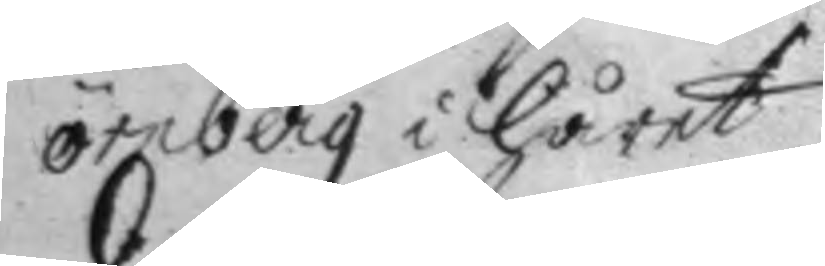örnberg i håret.
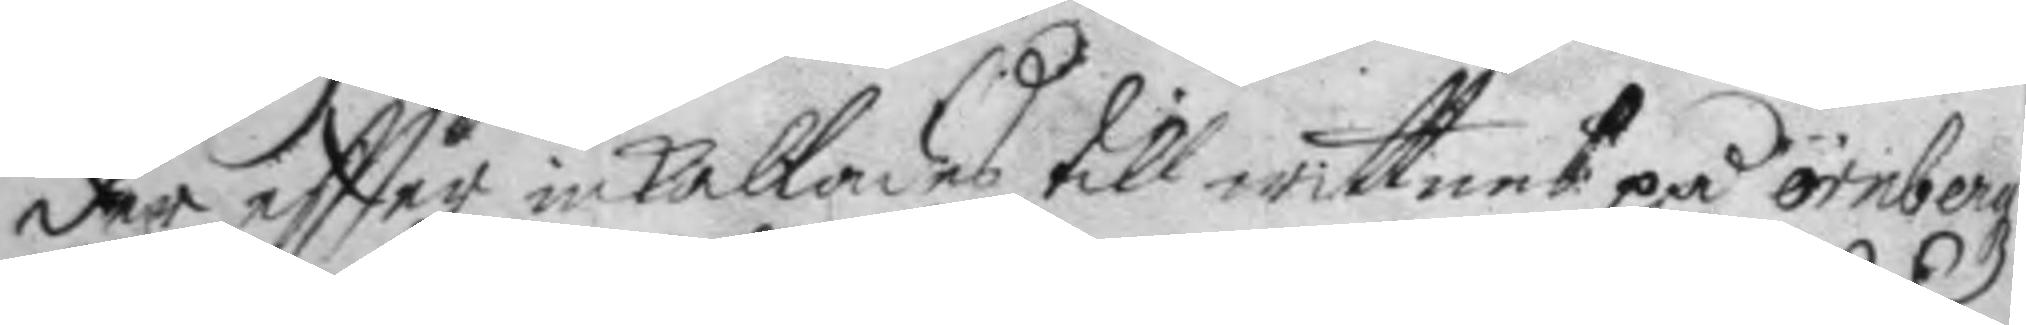der eftter inkallades till wittnes på örnbergz
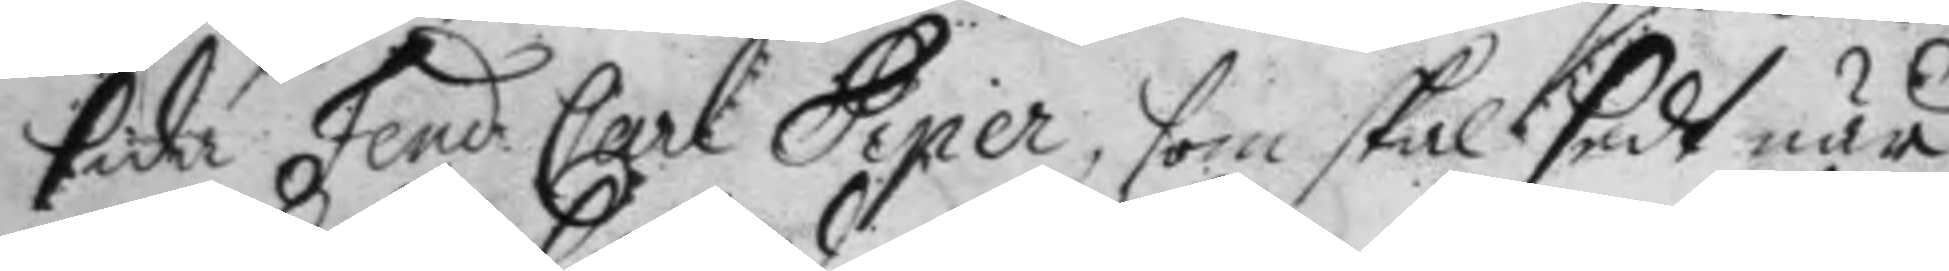sida Fend: Carl Piper, som skal sedt när
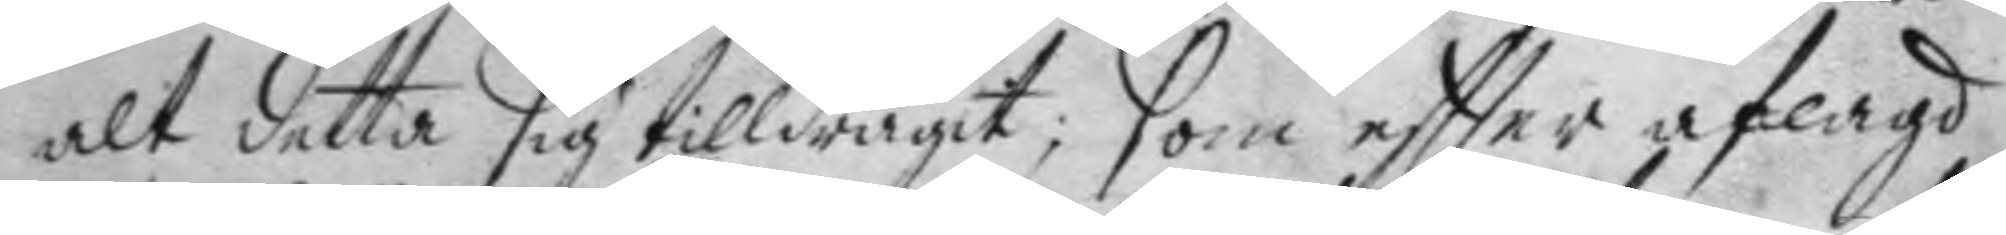alt detta sig tilldragit; som eftter aflagd
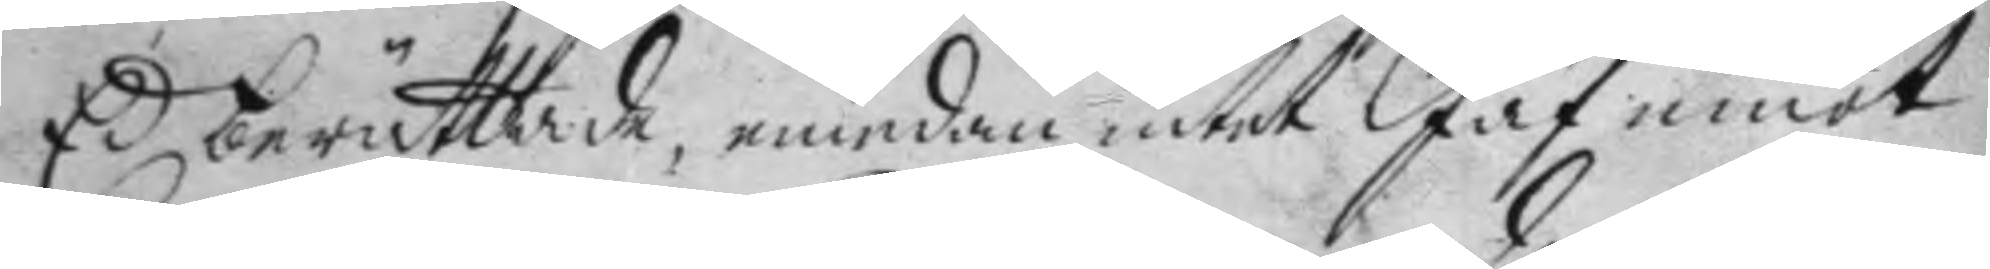Ed berättade, emedan intet Jäf emot
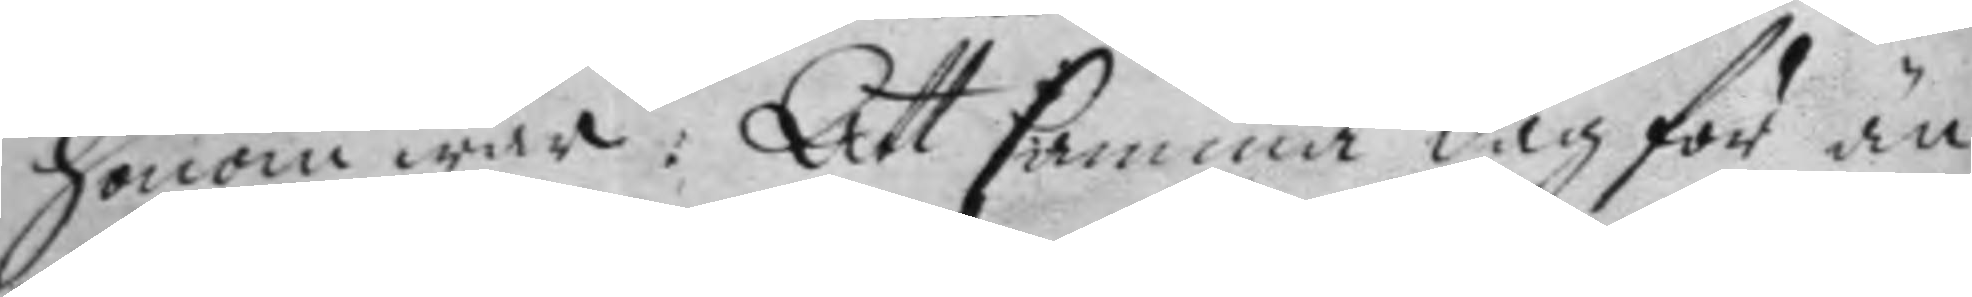honom war: Att samma dag för än
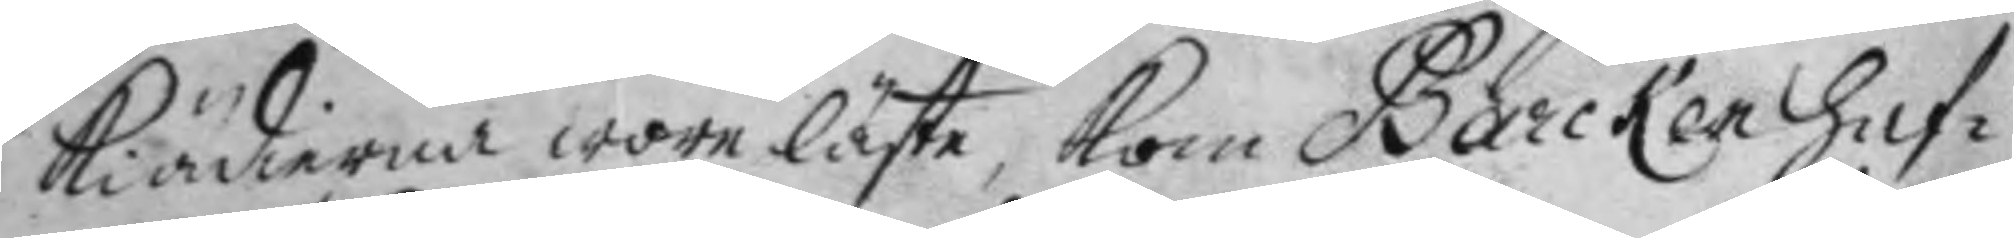kiädierna wore läste, kom Barcken haf¬
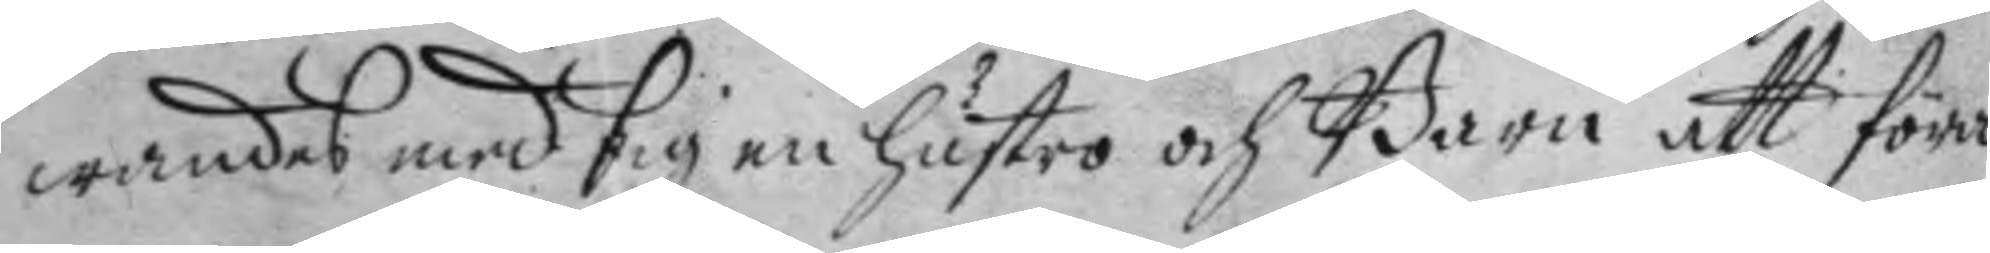wandes med sig en hustro och barn att föra
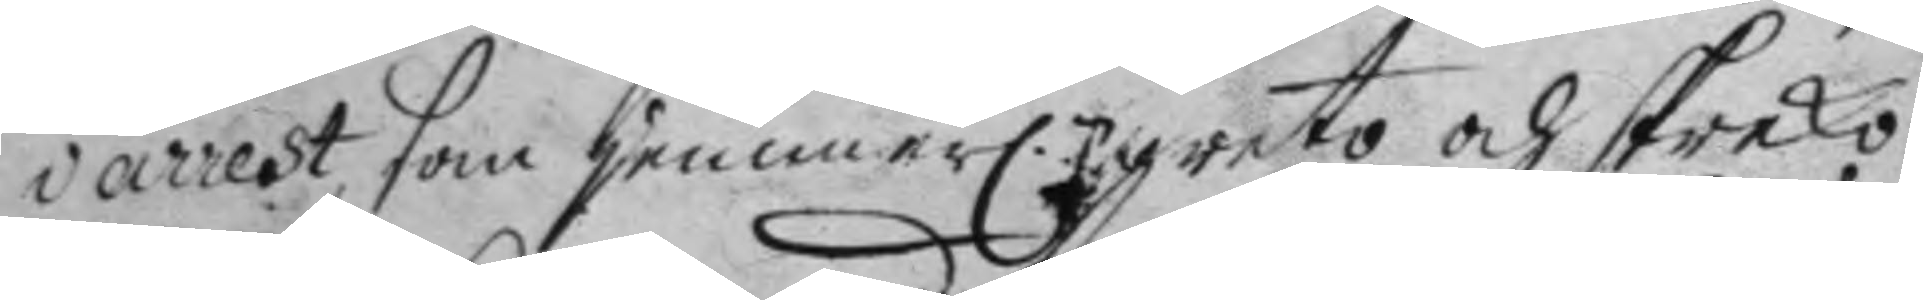i arrest som jemmer.n greto och skreko:
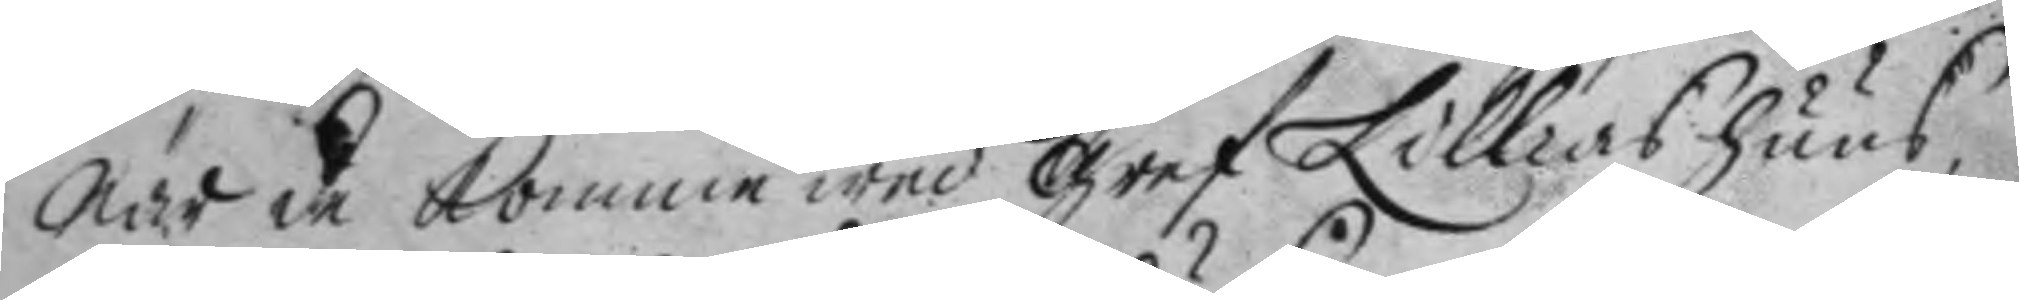när de komme wed gref Lillias huus,
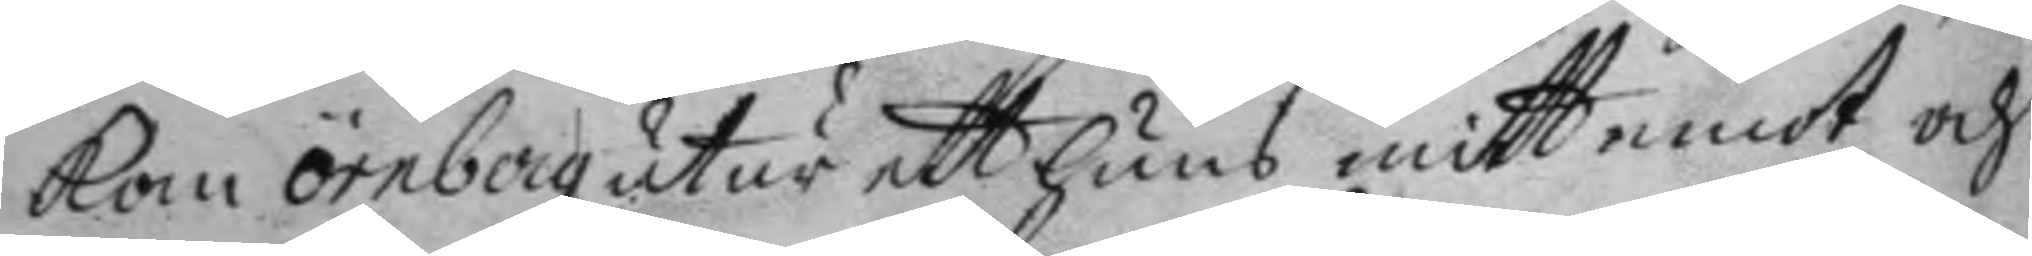kom örnberg utur ett huus mitt emot och
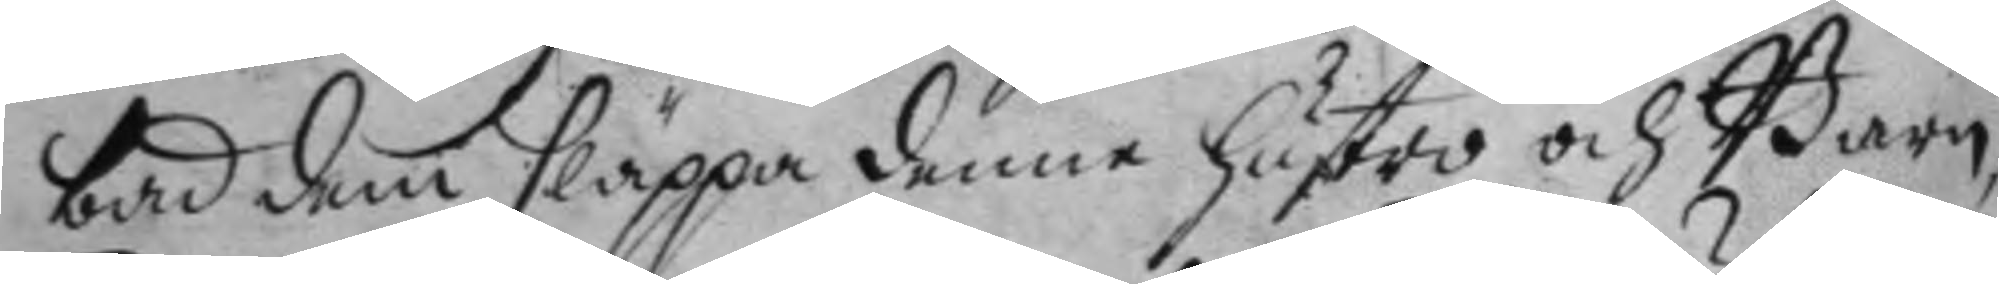bad dem släppa denne hustro och Barn,
